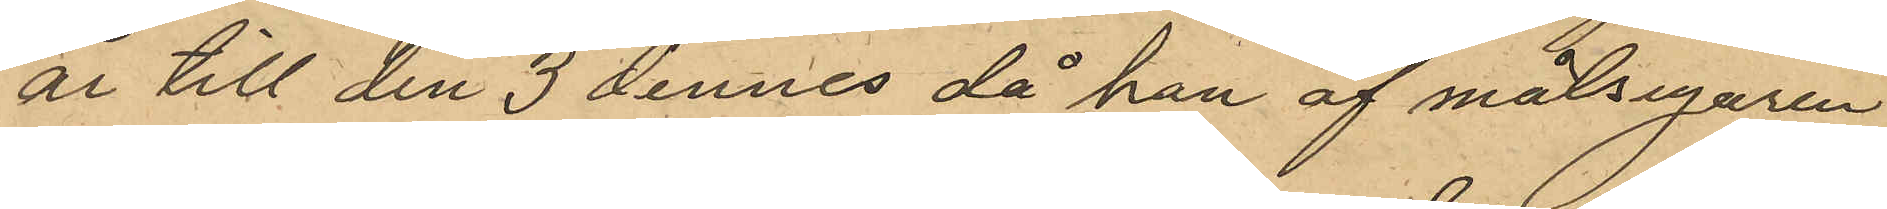år till den 3 dennes då han af målsegaren
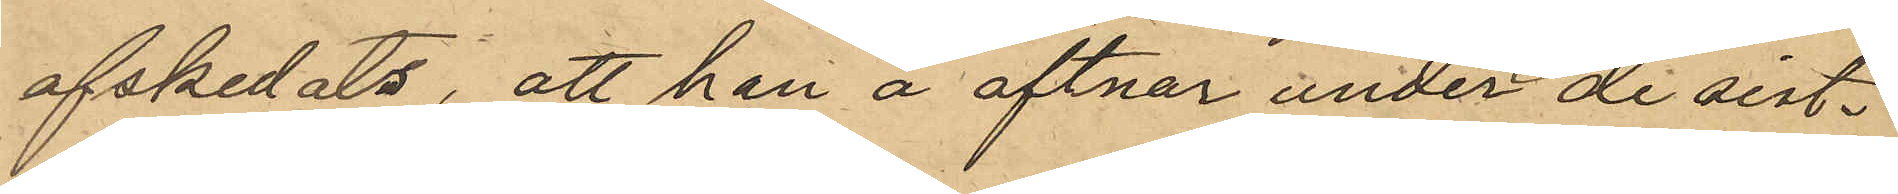afskedats, att han å aftnar under de sist¬
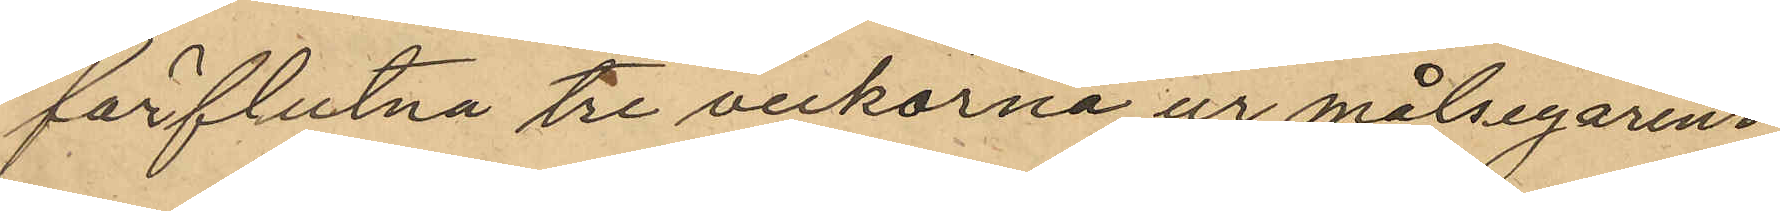förflutna tre veckorna ur målsegarens
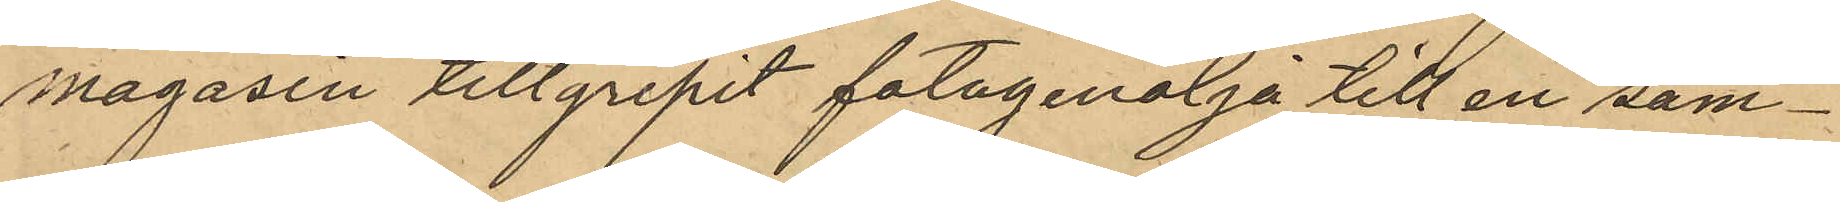magasin tillgripit fotogenolja till en sam¬
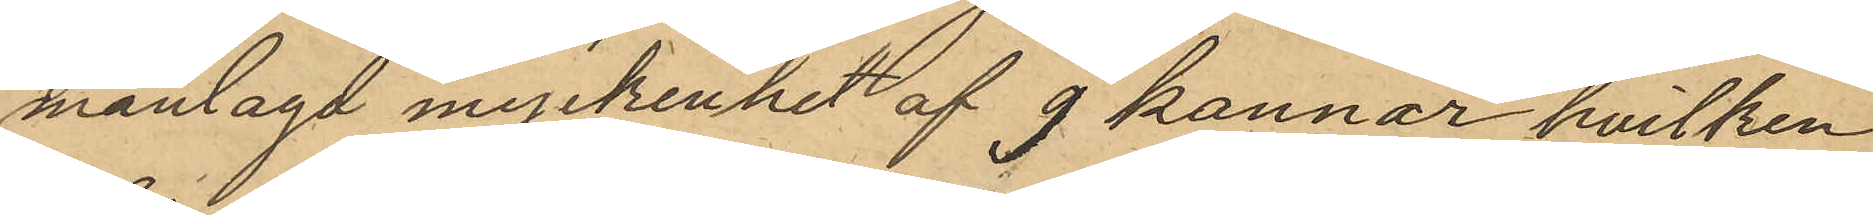manlagd myckenhet af 9 kannar hvilken
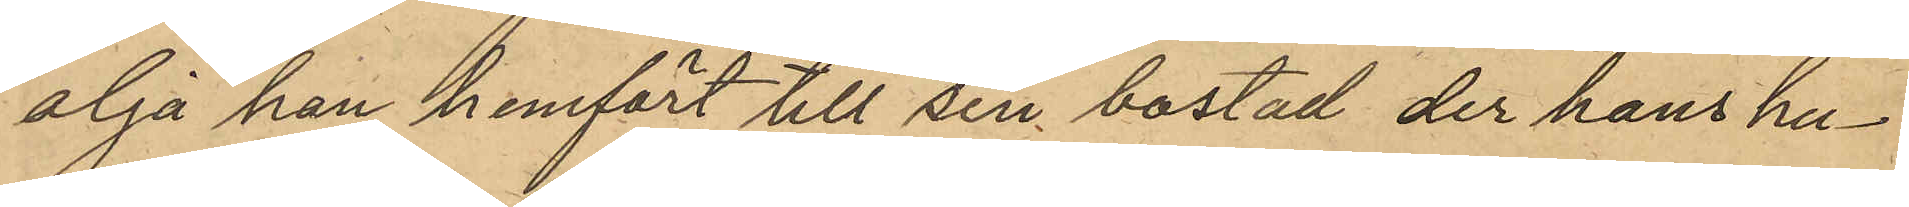olja han hemfört till sin bostad der hans hu¬
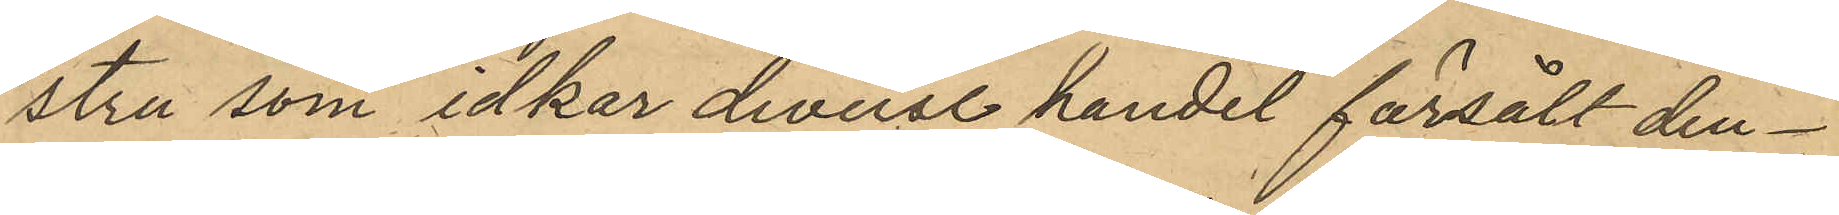stru som idkar diverse handel försålt den¬
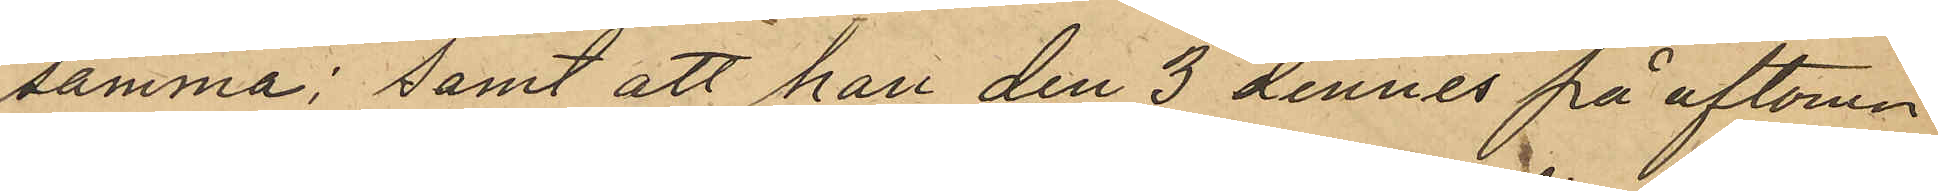samma; samt att han den 3 dennes på aftonen
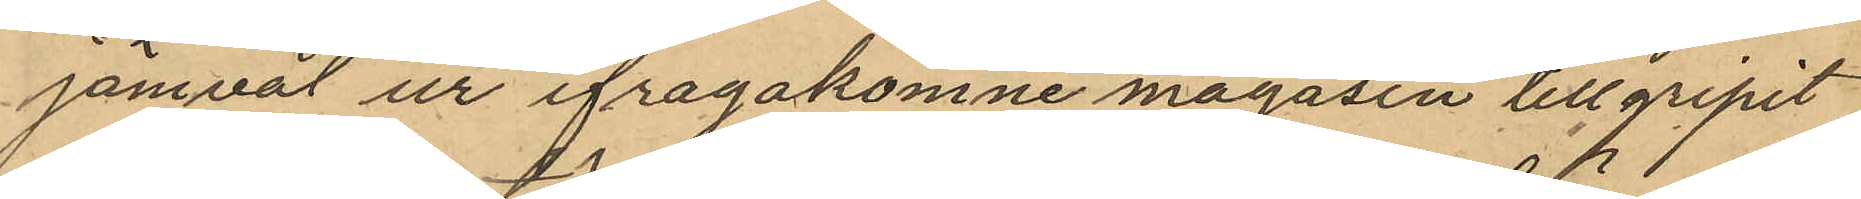jämväl ur ifrågakomne magasin tillgripit
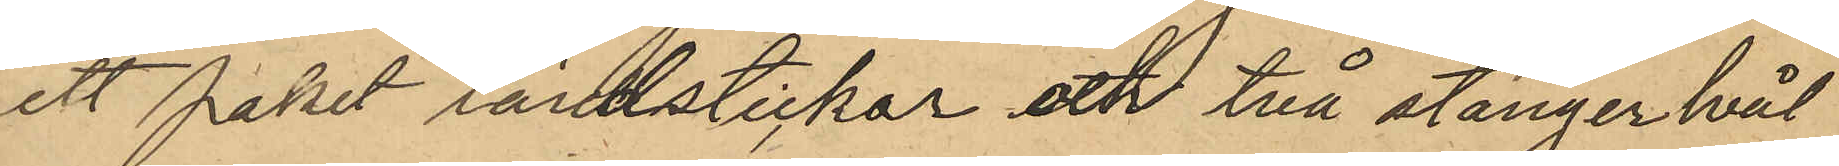ett paket tändstickor och två stänger tvål
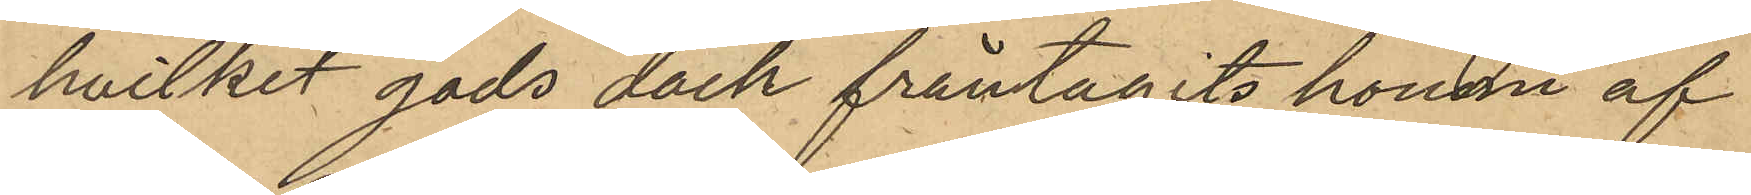hvilket gods dock fråntagits honom af
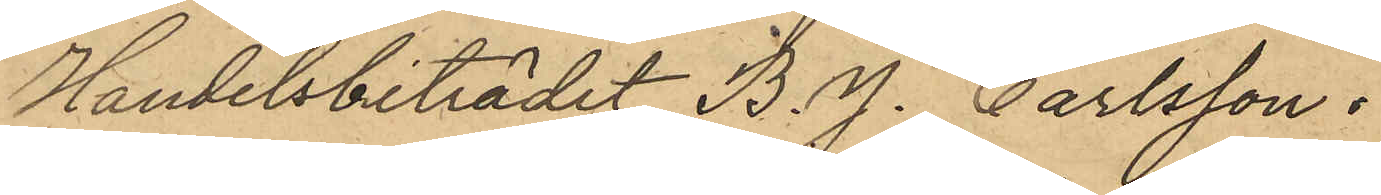Handelsbiträdet B. J. Carlsson.
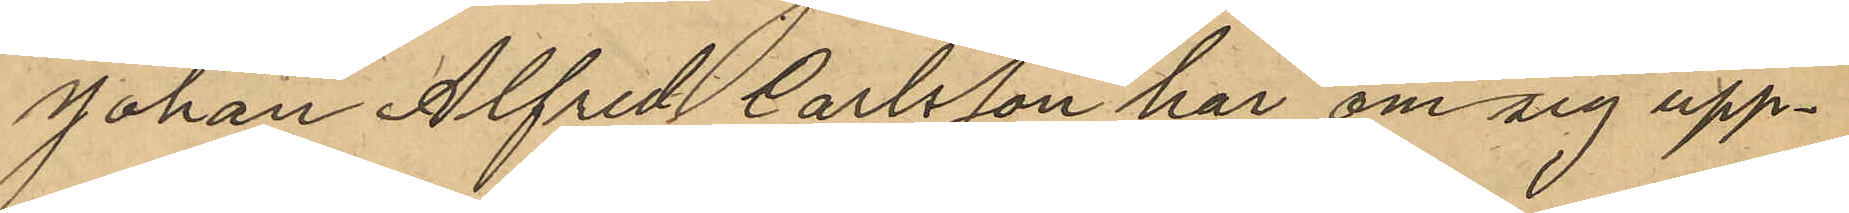Johan Alfred Carlsson har om sig upp¬
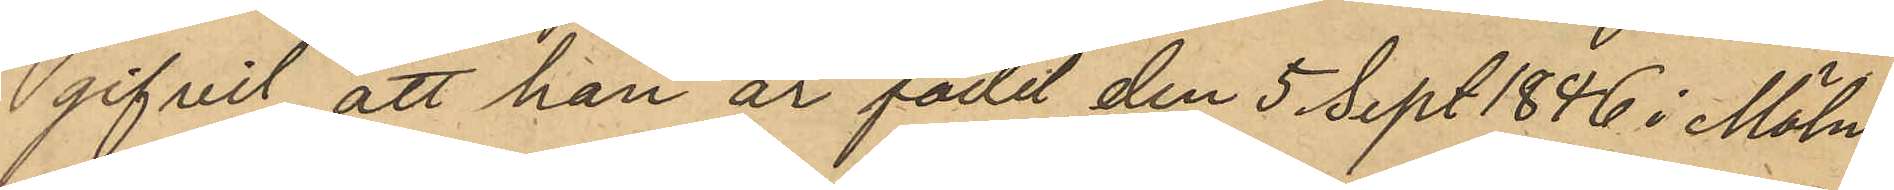gifvit att han är född den 5 Sept 1886 i Möln¬
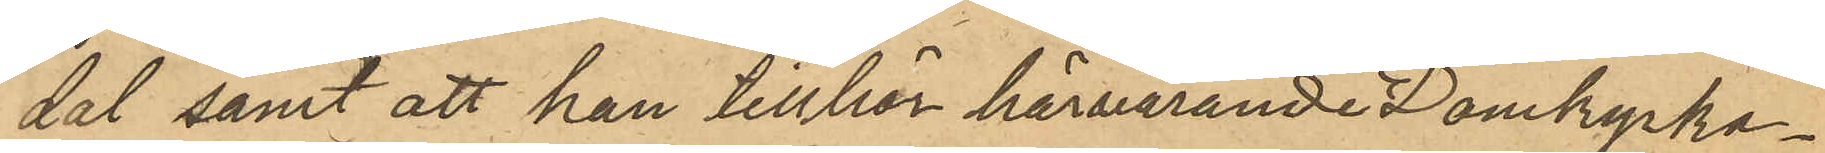dal samt att han tillhör härvarande Domkyrko¬
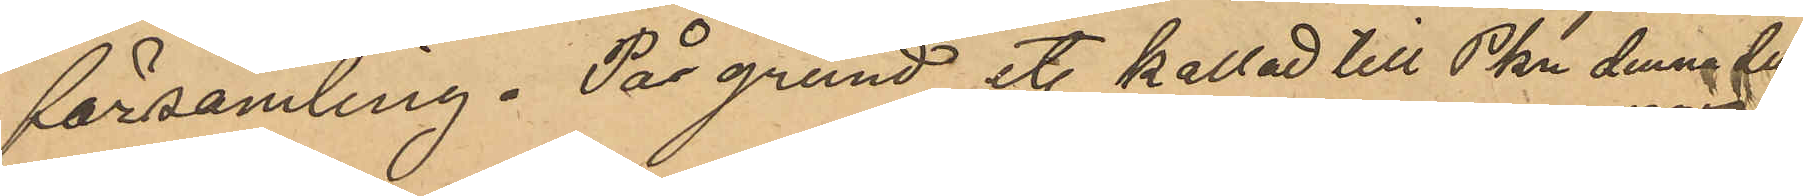församling. På grund et. kallad till Pkn denna dag
